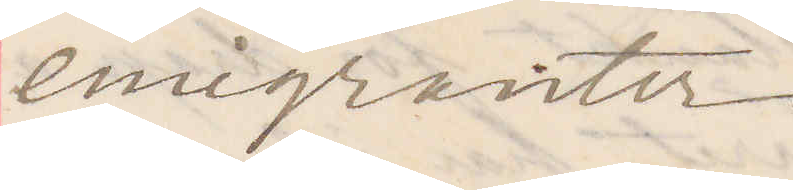emigranter
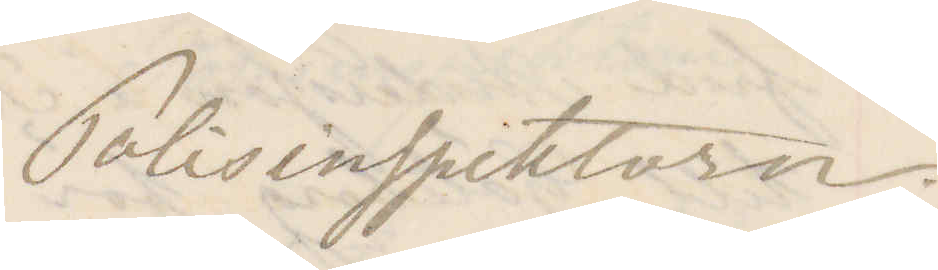Polisinspektorn.
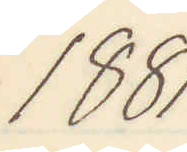1881.
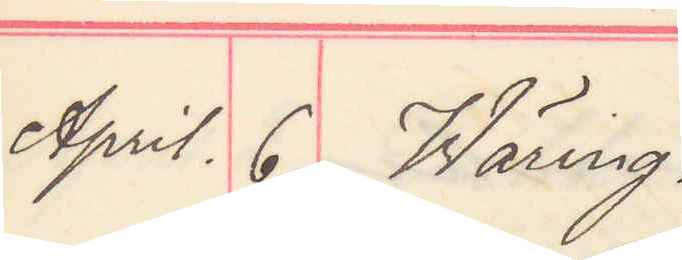April 6. Wäring.
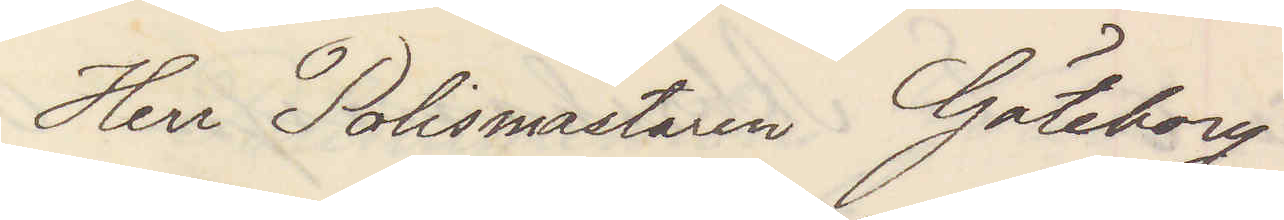Herr Polismästaren Göteborg
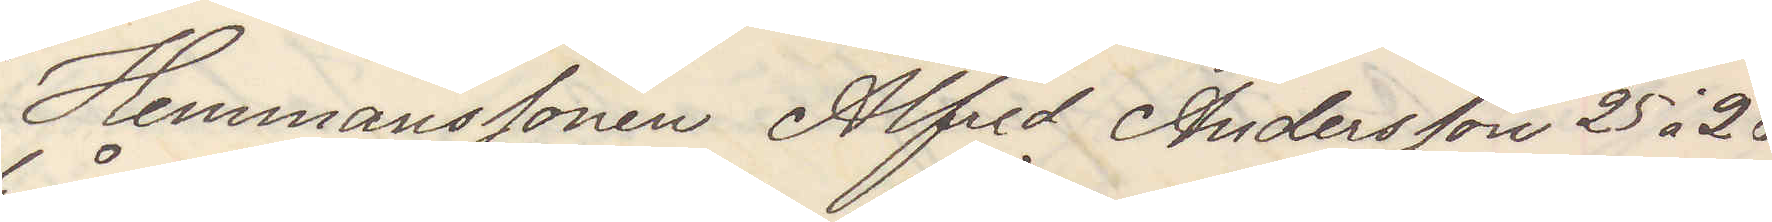Hemmasonen Alfred Andersson 25 à 28
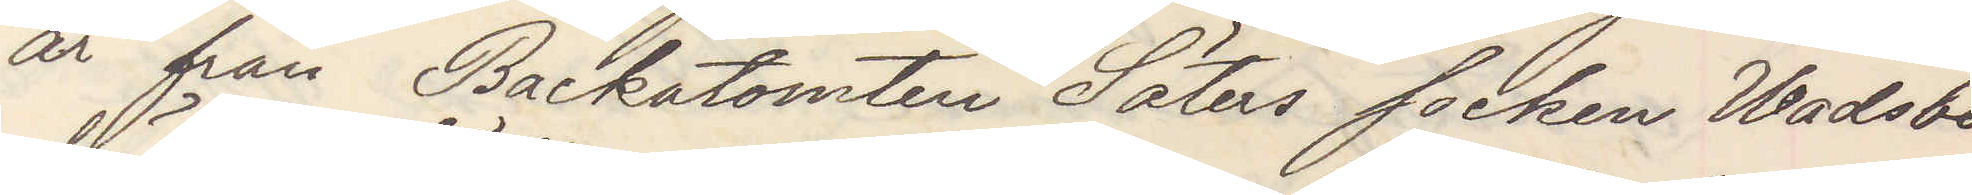år från Backatomten Säters socken Wadsbo
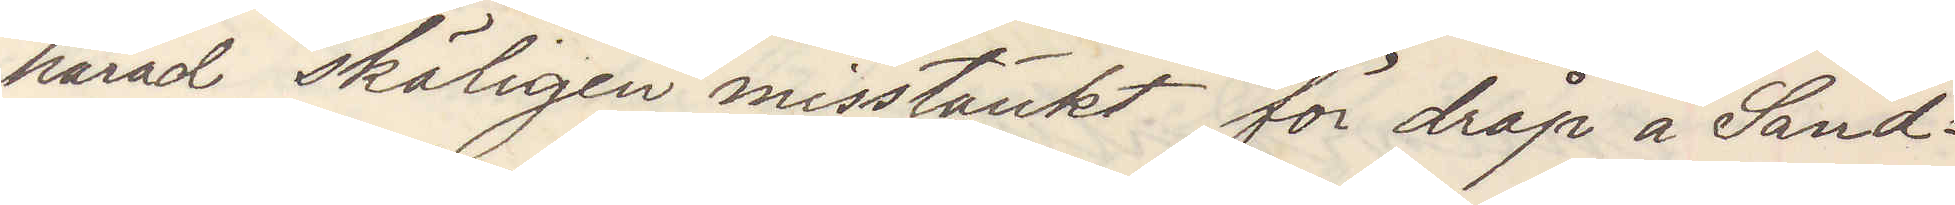härad skäligen misstänkt för dråp å Sand¬
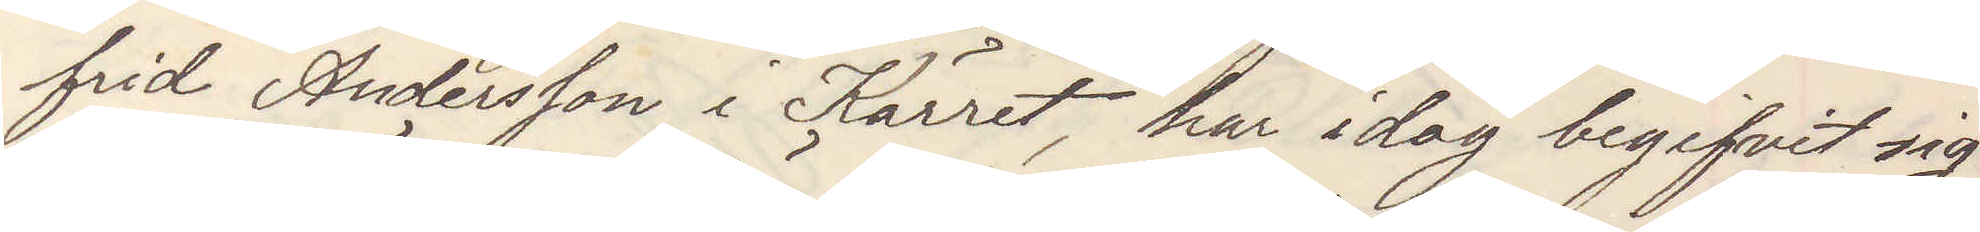frid Andersson i Kärret har idag begifvit sig
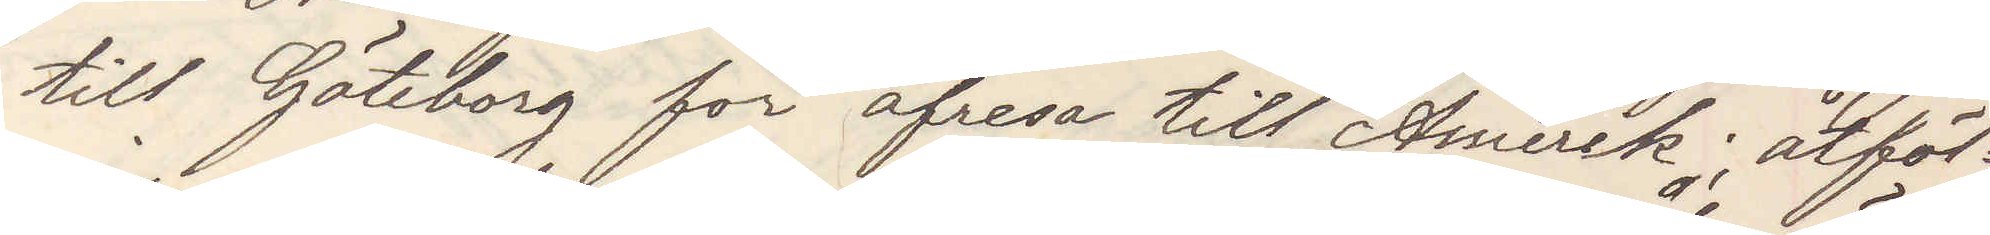till Göteborg för afresa till Amerik; åtföl¬
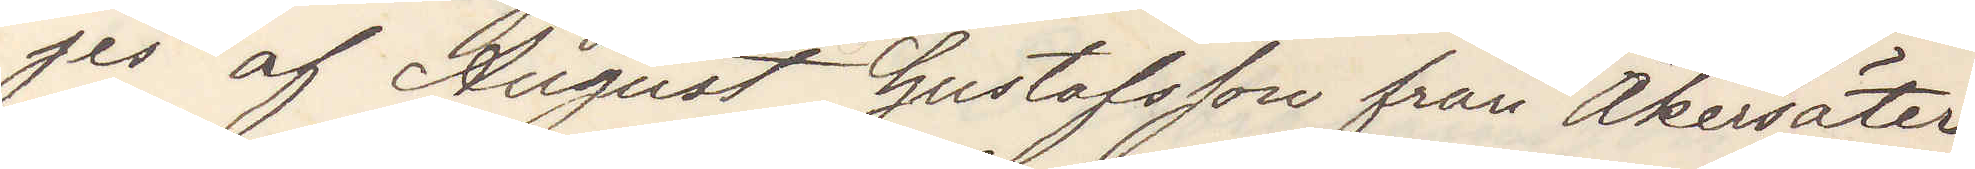jes af August Gustafsson från Åkersäter.
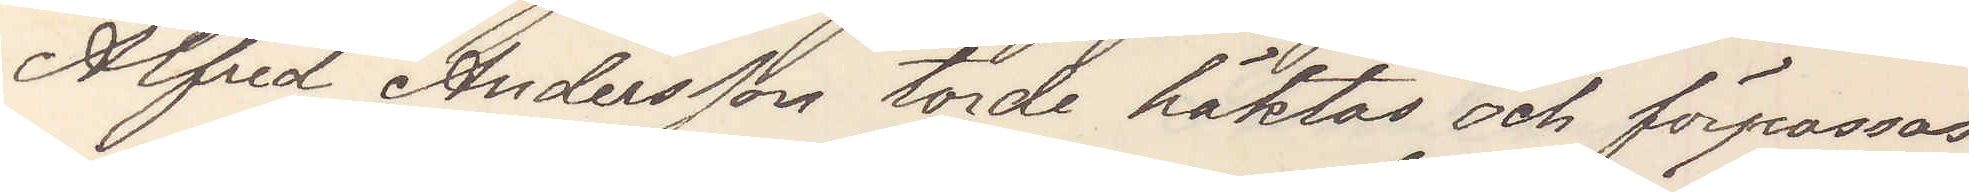Alfred Andersson torde häktas och förpassas
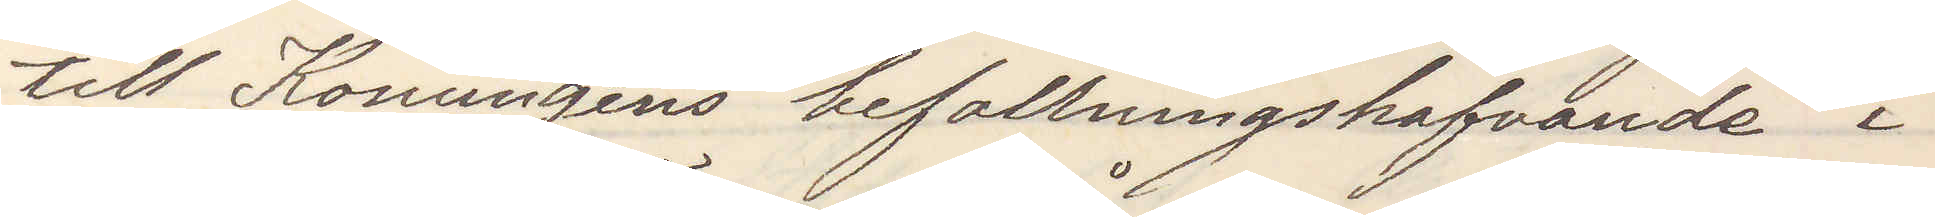till Konungens befallningshafvande i
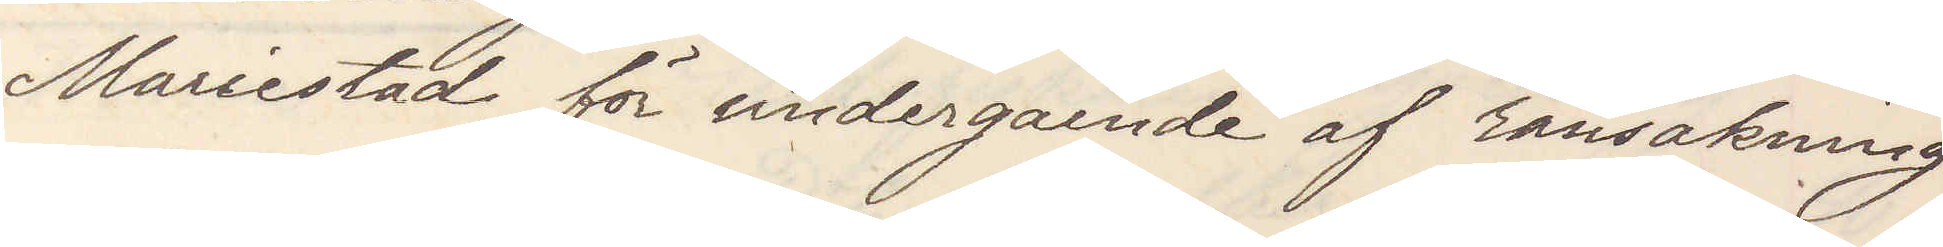Mariestad för undergående af ransakning
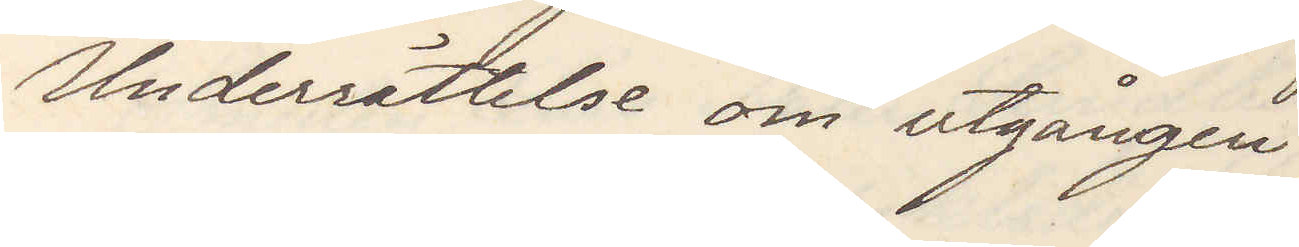Underrättelse om utgången.
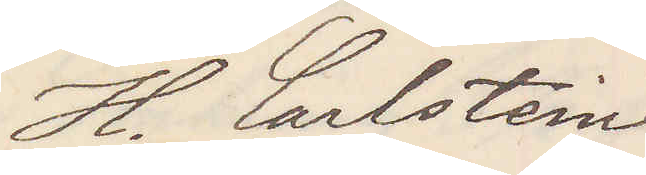H. Carlstein
